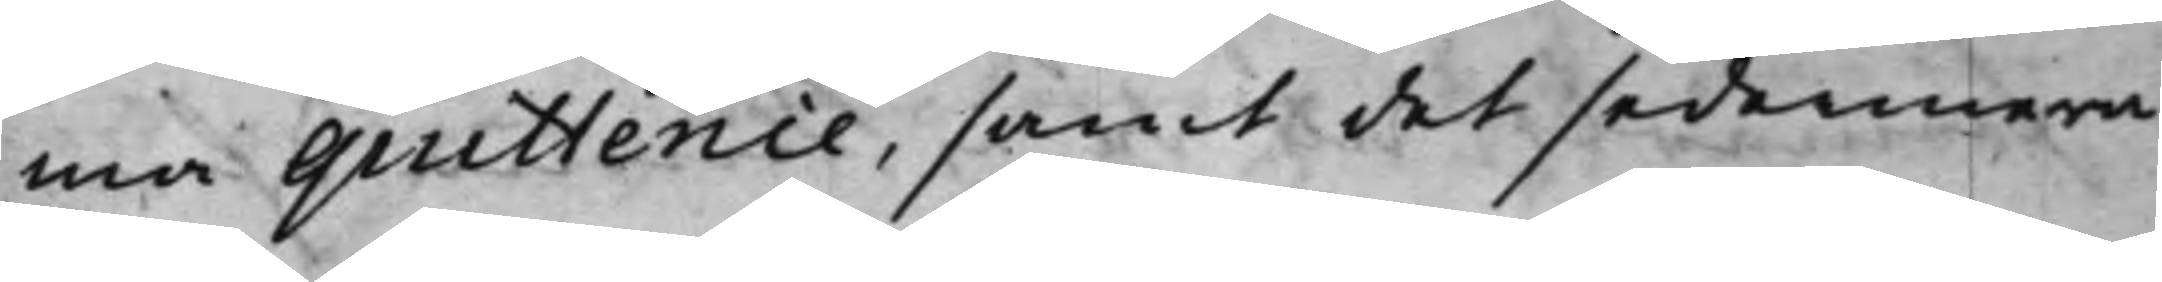ma quittence, samt det sedermera
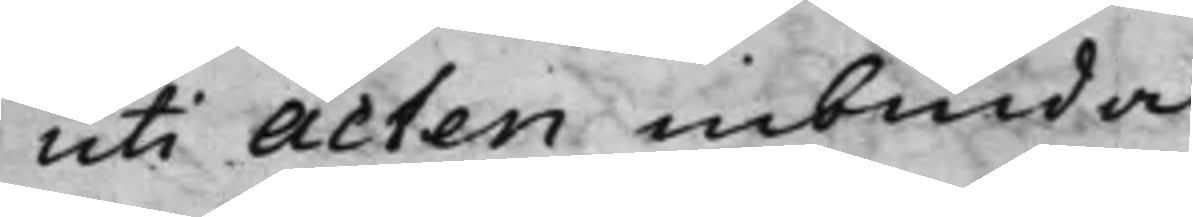uti Acten inbinda.
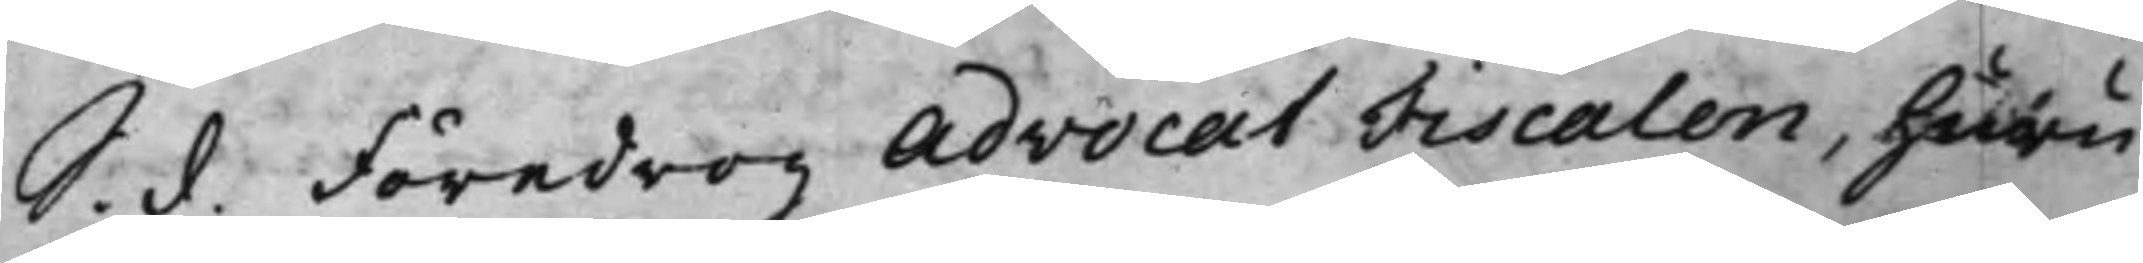S. d. Föredrog Advocat Fiscalen, huru¬
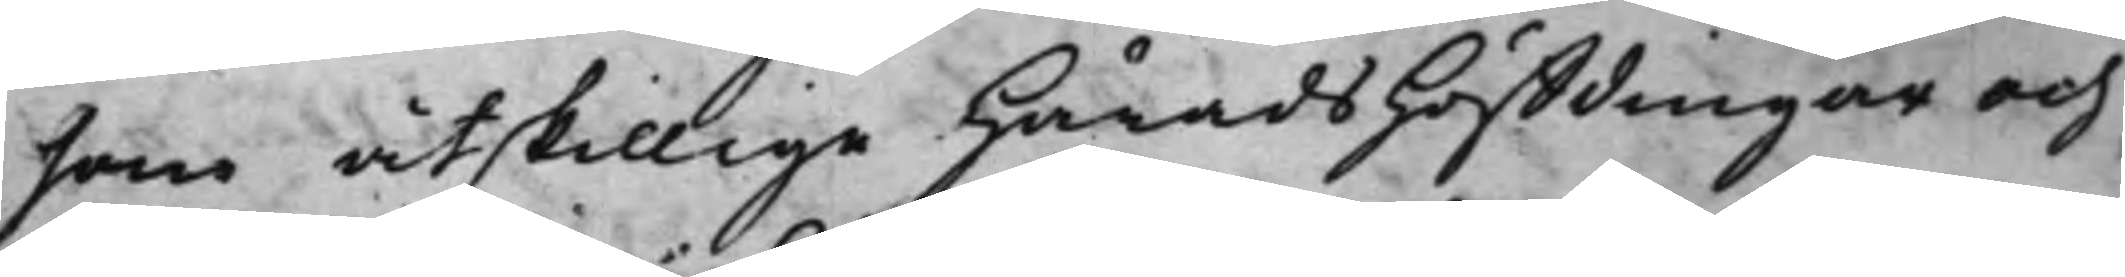som åtskillige HäradsHöffdingar och
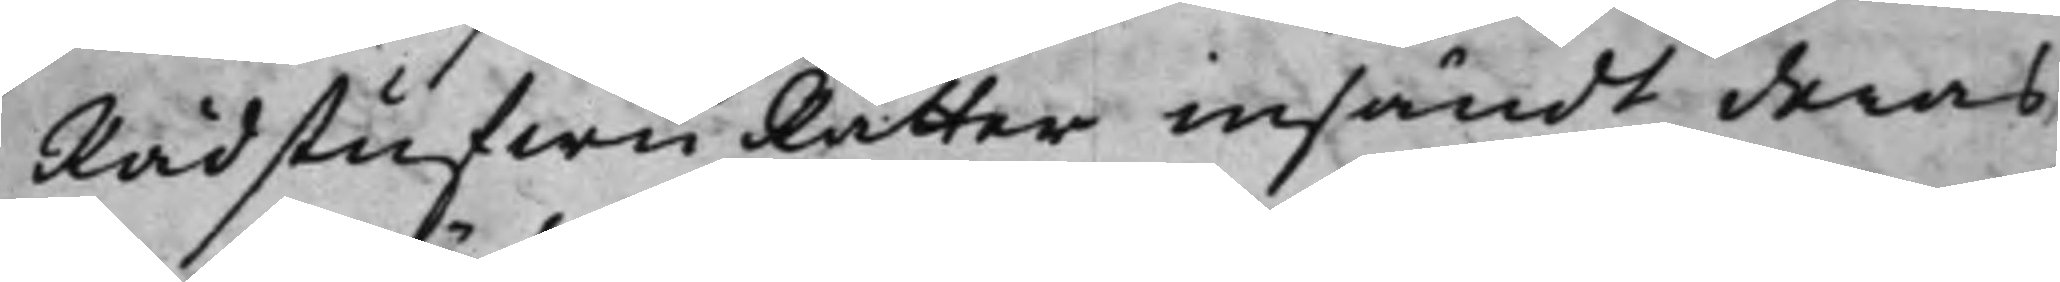RådstufwuRätter insändt deras
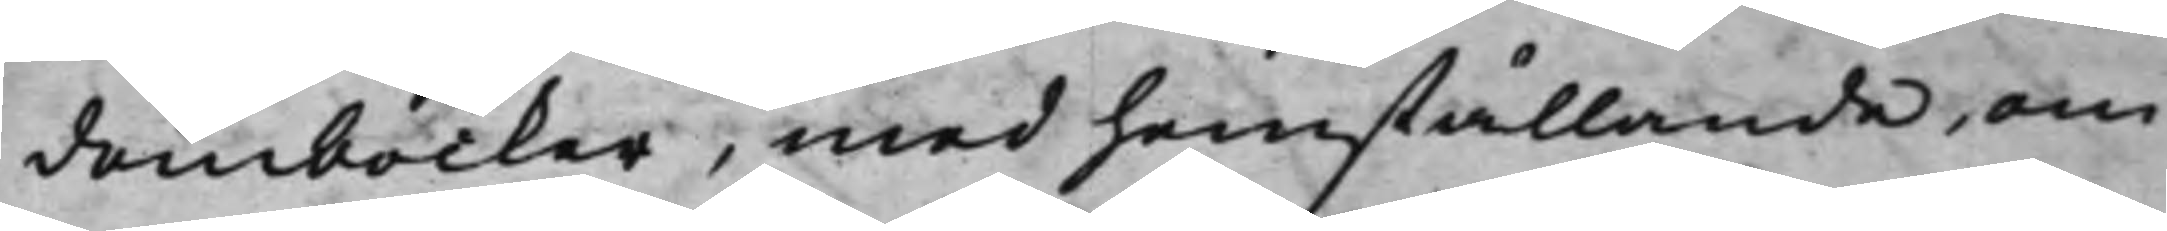domböcker, med hemställande, om
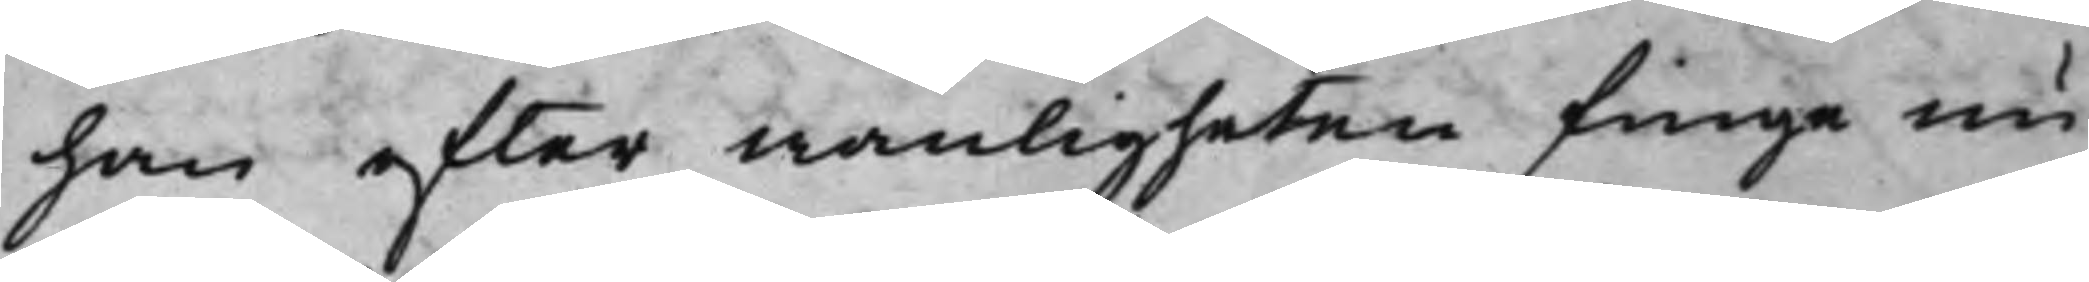han efter wanligheten finge nu
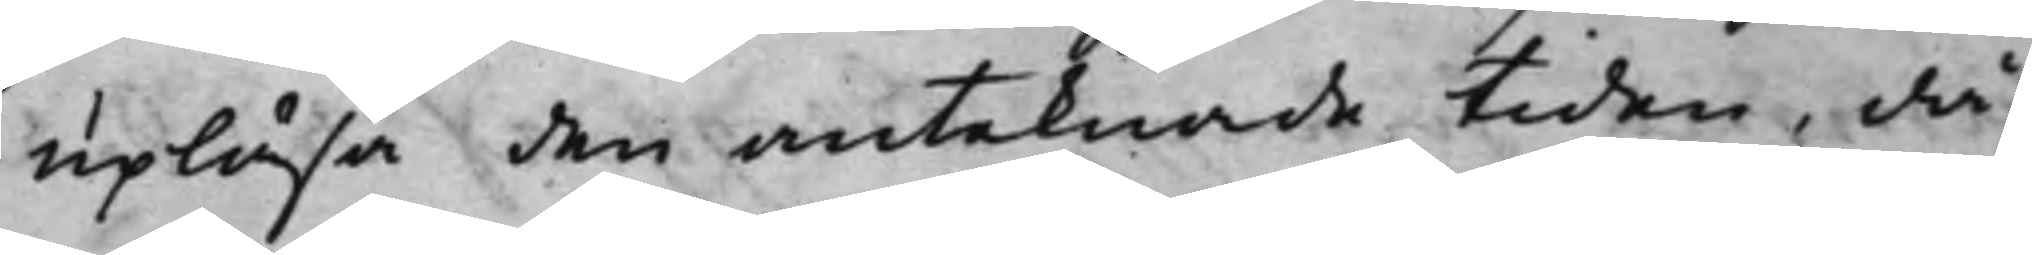upläsa den anteknade tiden, då
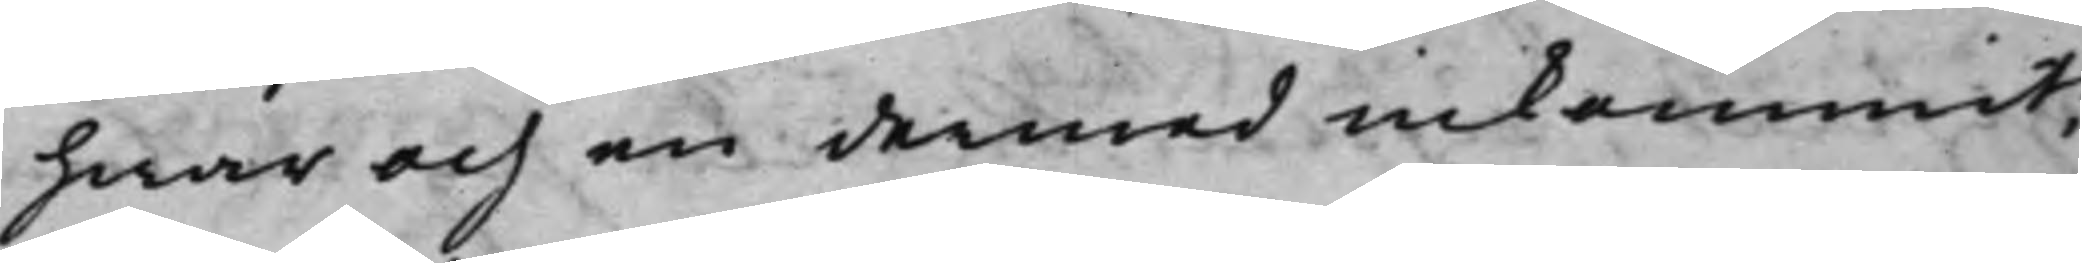hwar och en dermed inkommit,
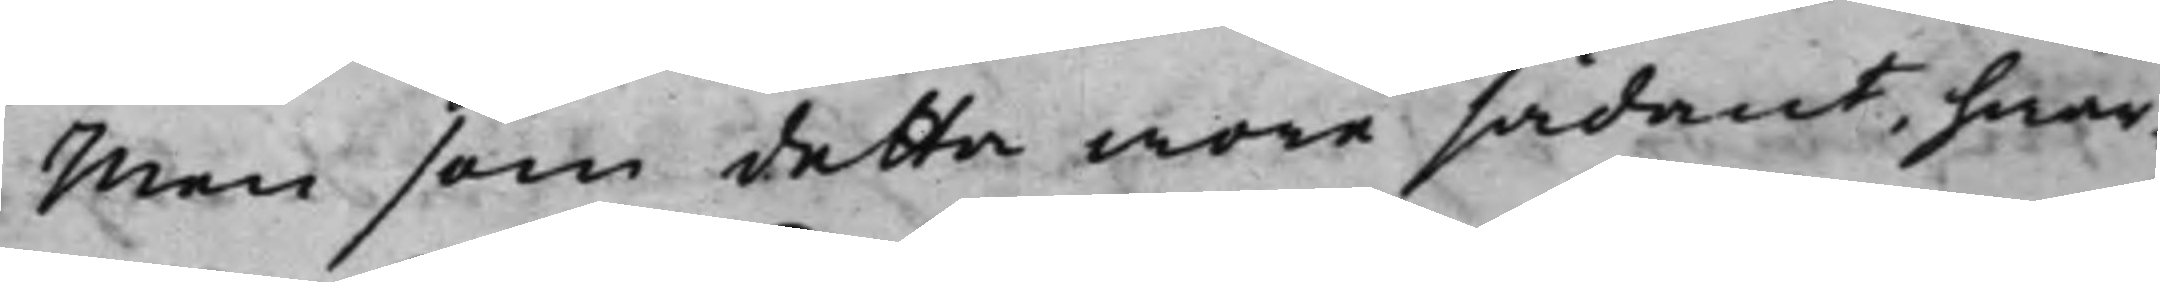Men som detta wore sådant, hwar¬
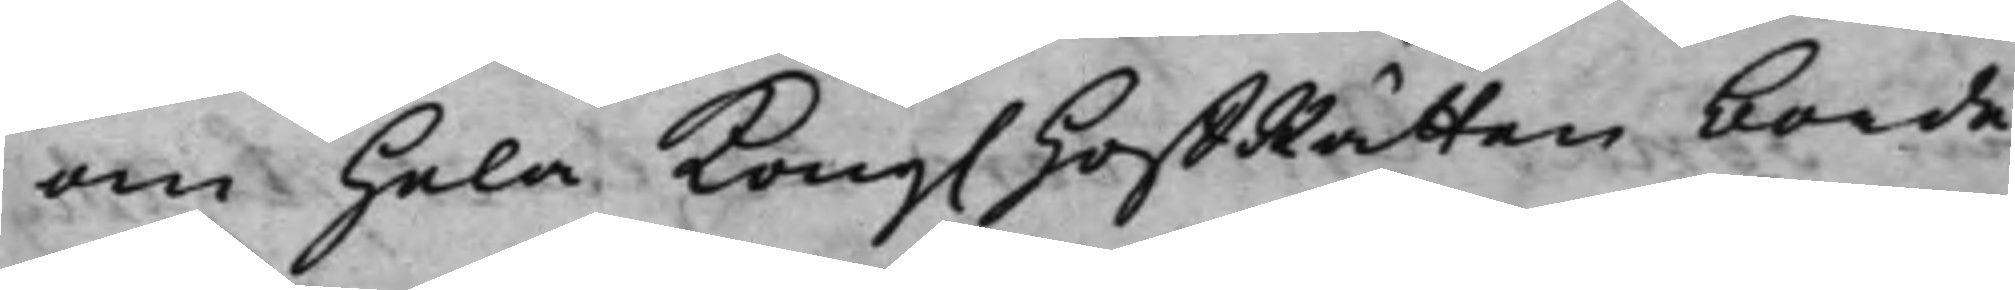om Hela Kong. HoffRätten borde
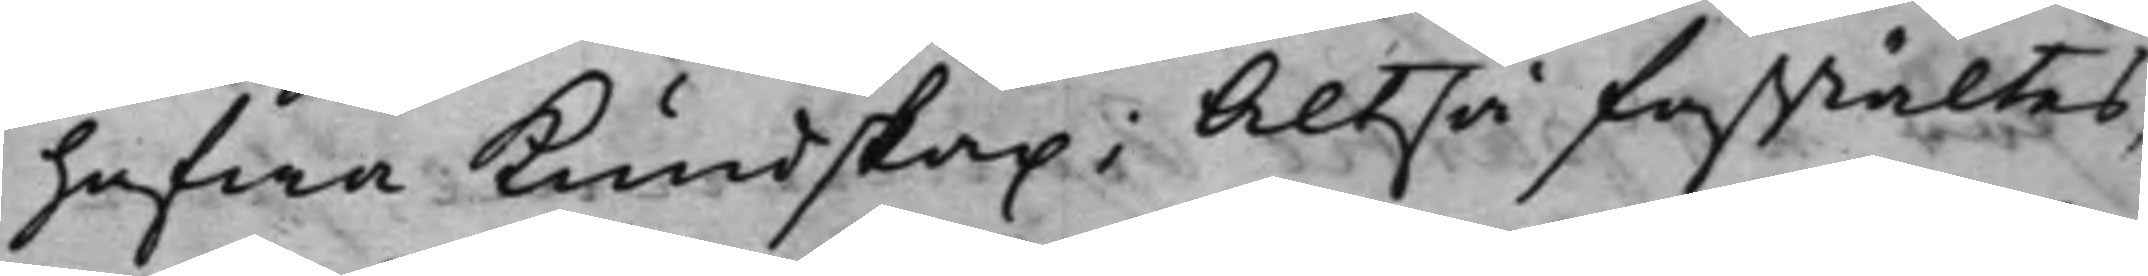hafwa Kundskap; Altså faststältes
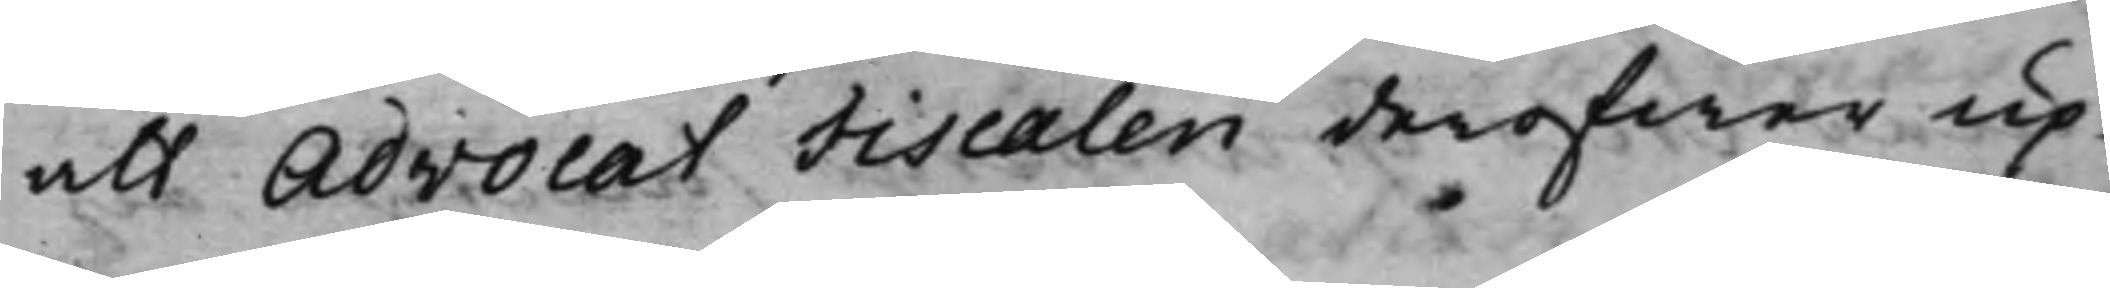att Advocat Fiscalen deröfwer up¬
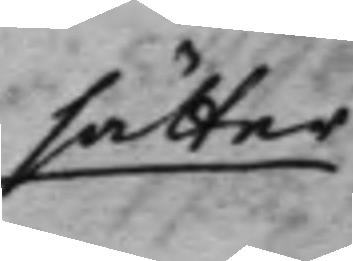sätter
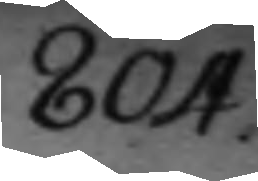804.
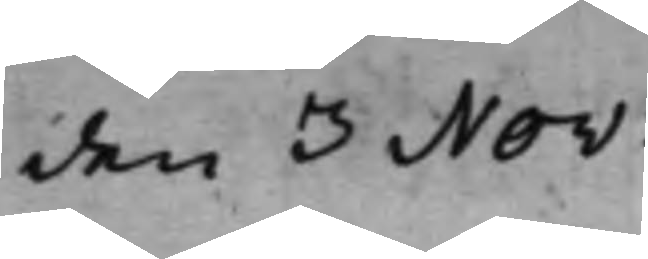den 3 Nov:
